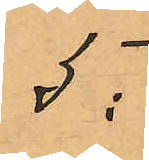5:
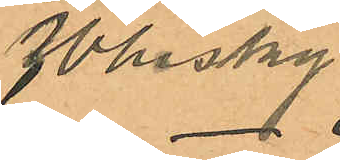Whisky
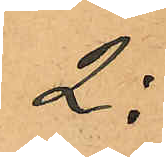2:
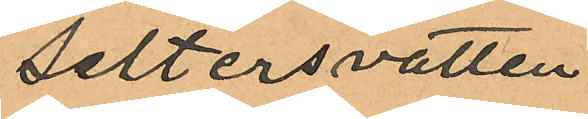Seltersvatten
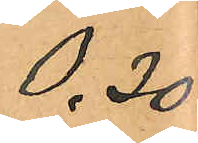0,30
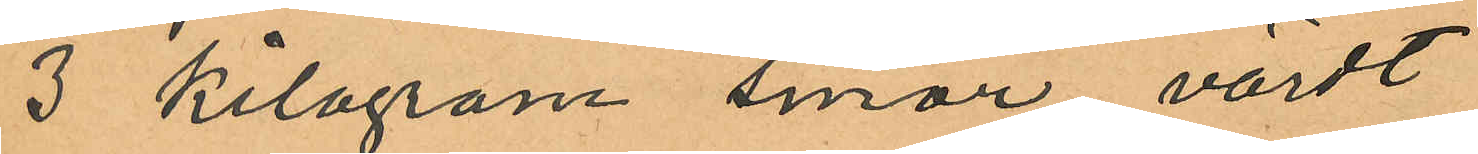3 Kilogram smör värdt
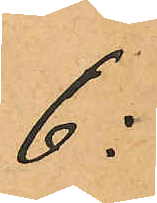6:
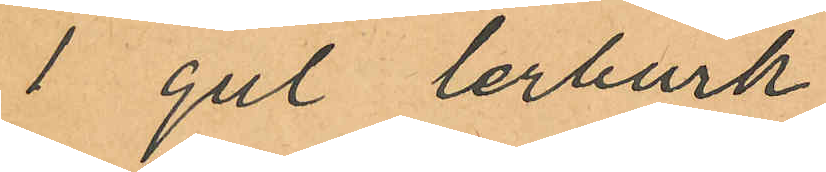1 gul lerburk
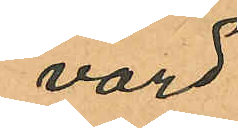värd
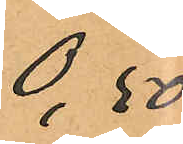0,50
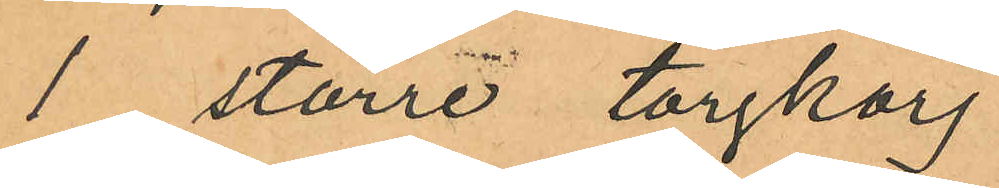1 större torgkorg
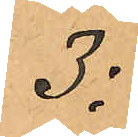3:
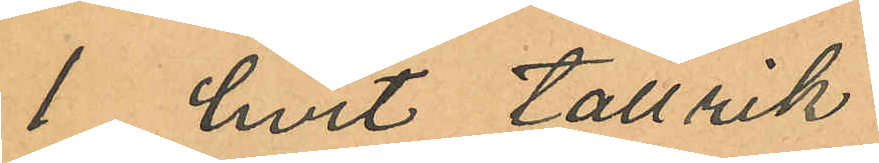1 hvit tallrik
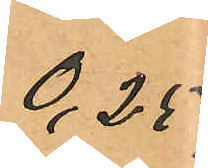0,25
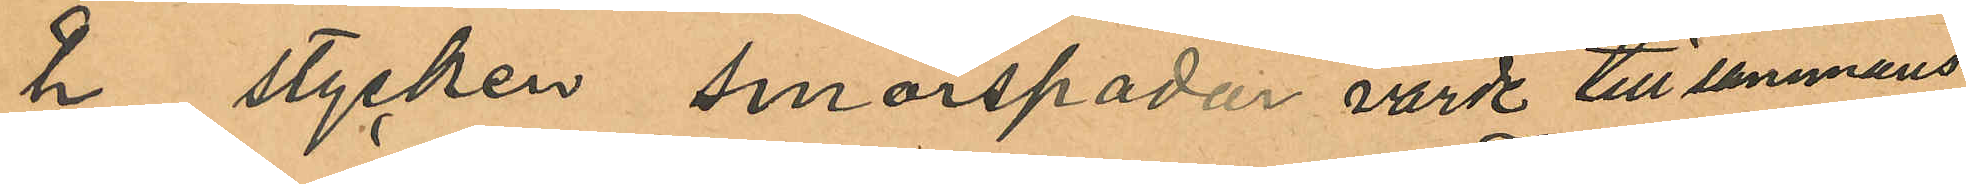2 stycken smörspadar värde tillsammans
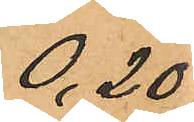0,20
